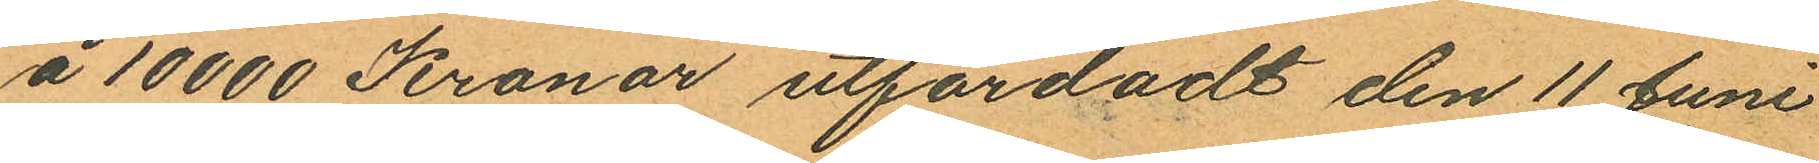å 10000 Kronor utfärdadt den 11 Juni
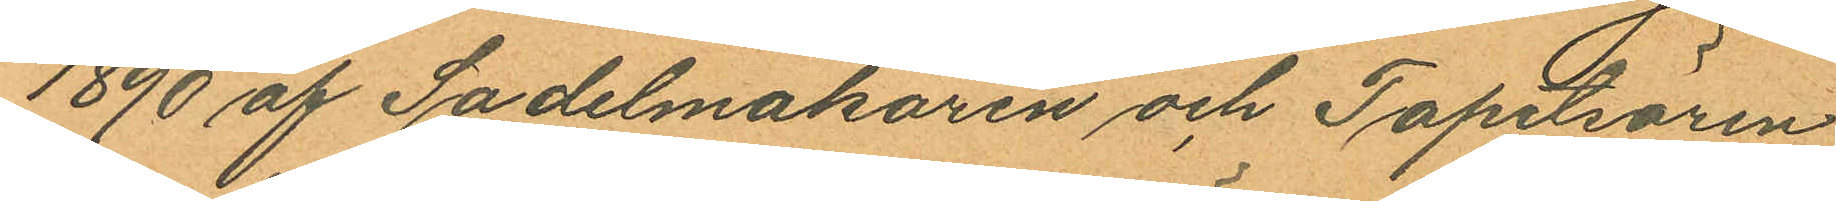1890 af Sadelmakaren och Tapetsören
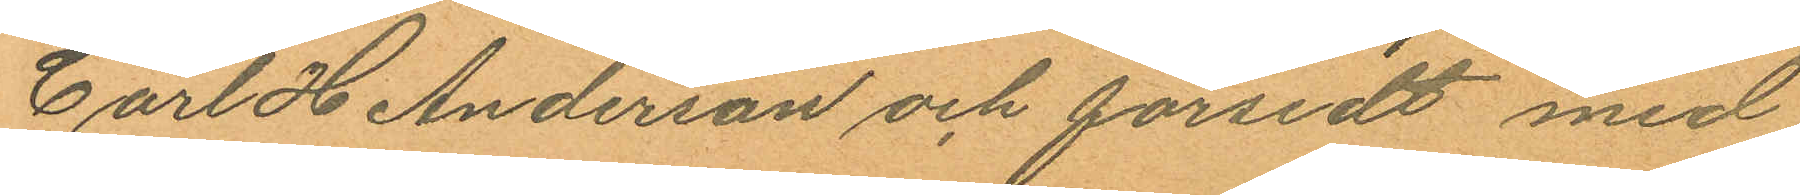Carl H Anderson och försedt med
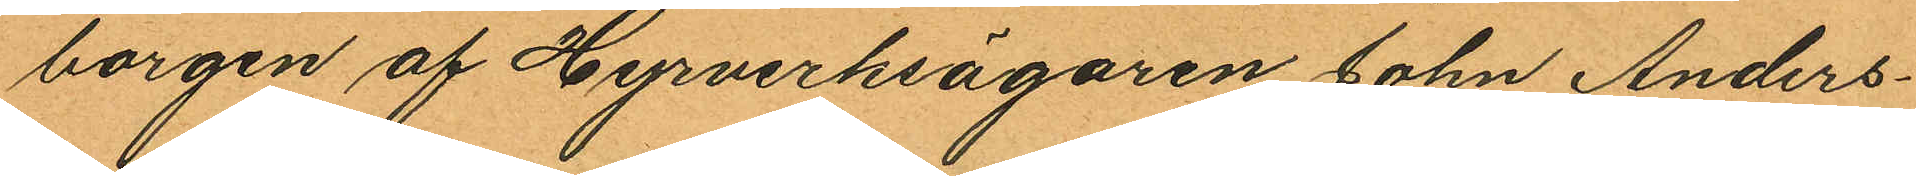borgen af Hyrverksägaren John Anders¬
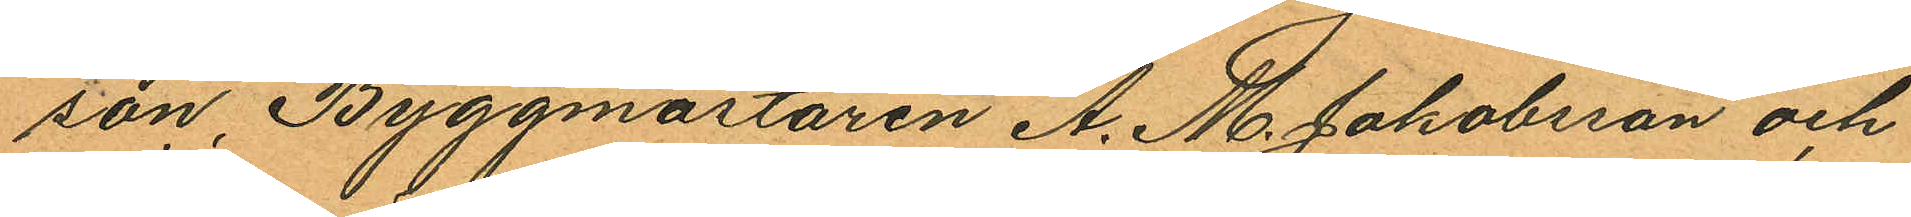son, Byggmästaren A. M. Jakobsson och
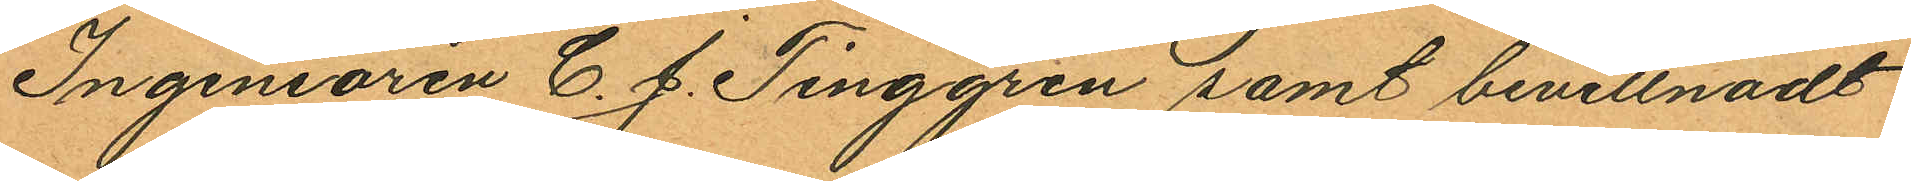Ingeniören C. J. Tinggren samt bevittnadt
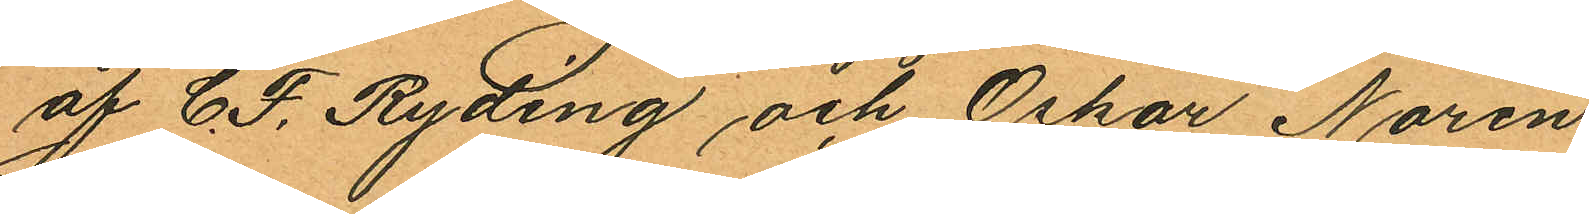af C. F. Ryding och Oskar Norén.
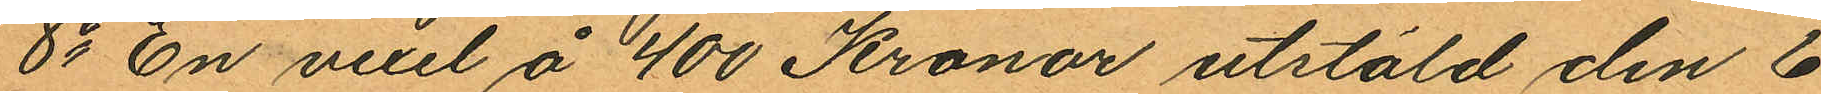8o En vexel å 400 Kronor utstäld den 6
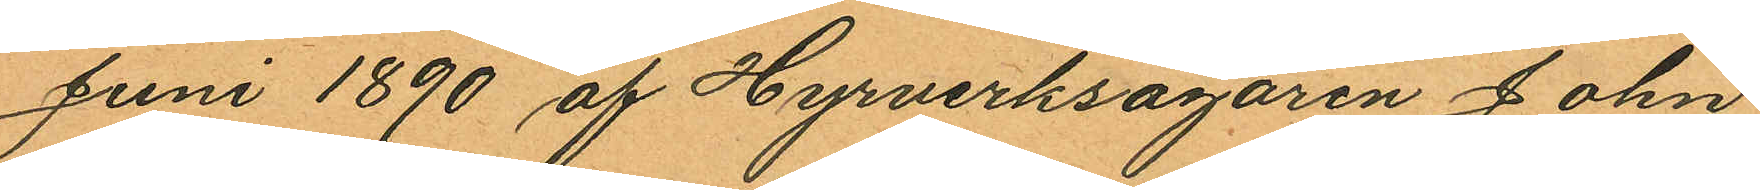Juni 1890 af Hyrverksägaren John
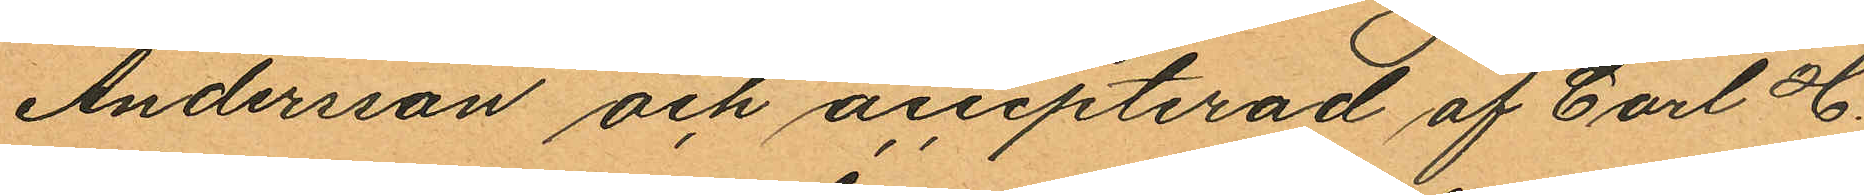Andersson och accepterad af Carl H.
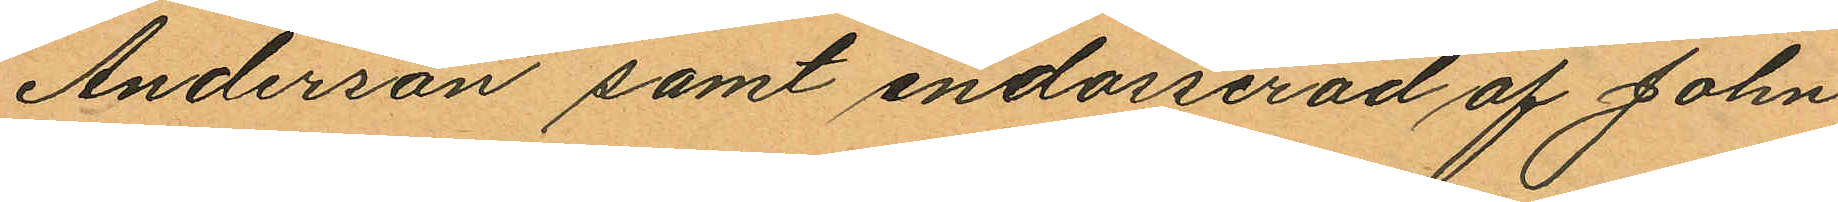Anderson samt endosserad af John
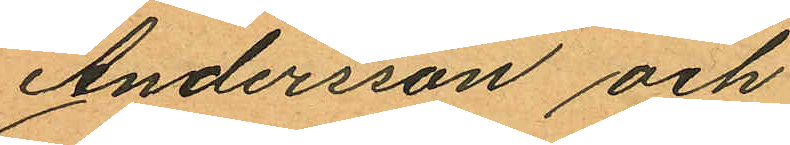Andersson och
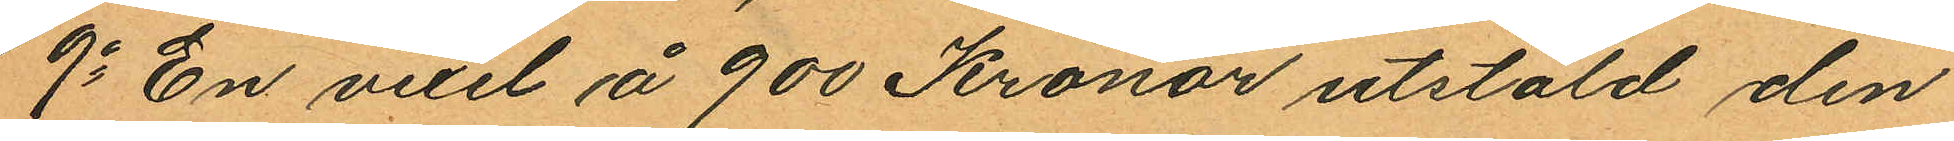9o En vexel å 900 Kronor utstäld den
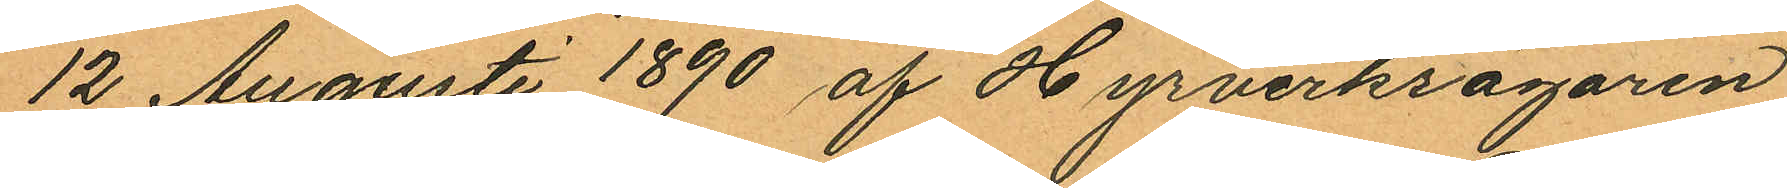12 Augusti 1890 af Hyrverksägaren
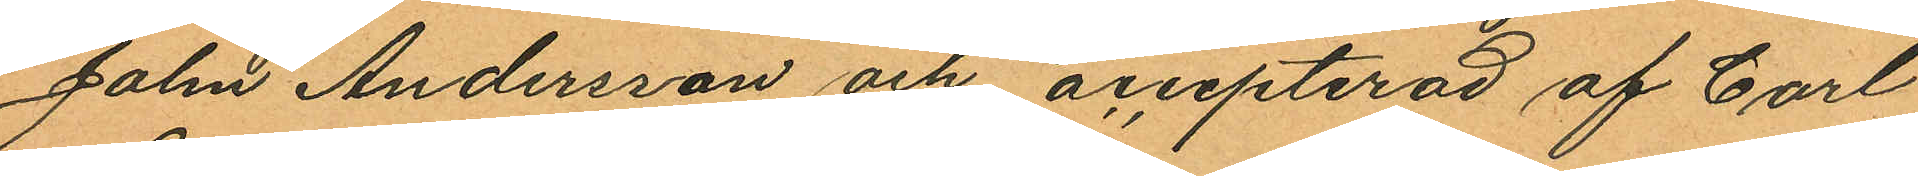John Andersson och accepterad af Carl
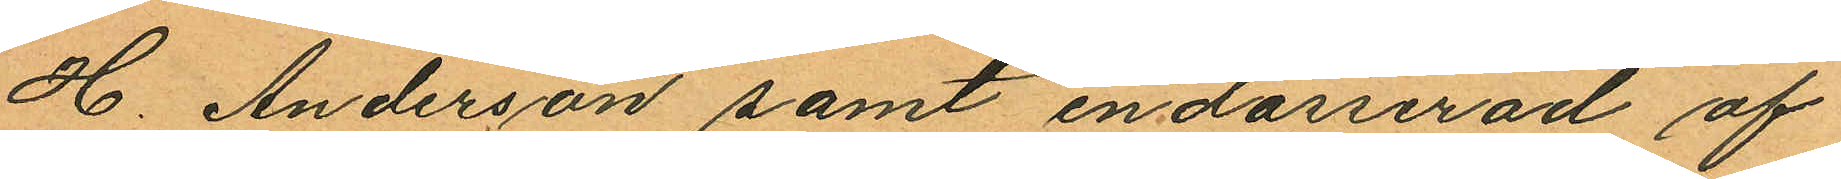H. Anderson samt endosserad af
